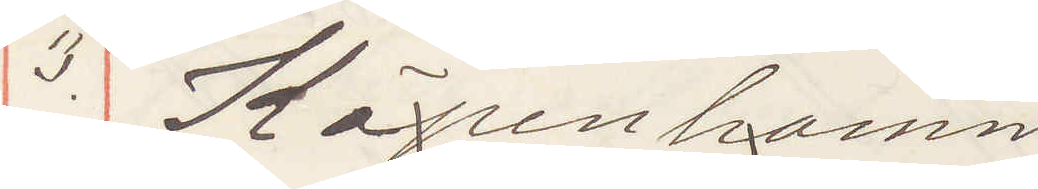3. Köpenhamn
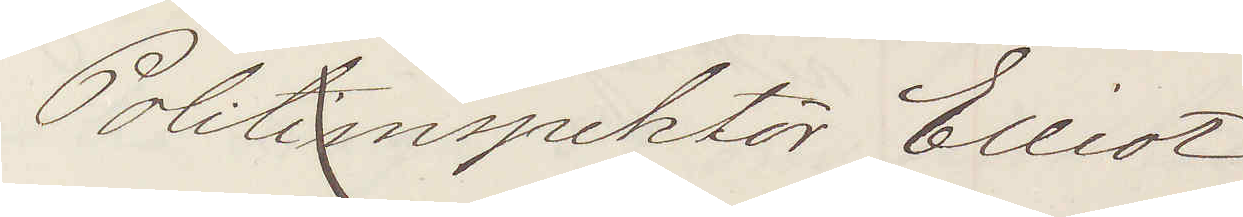Politiinspektör Elliot
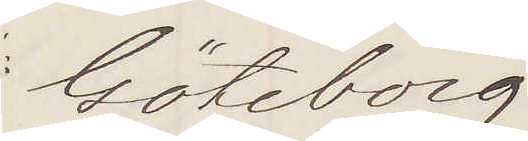Göteborg
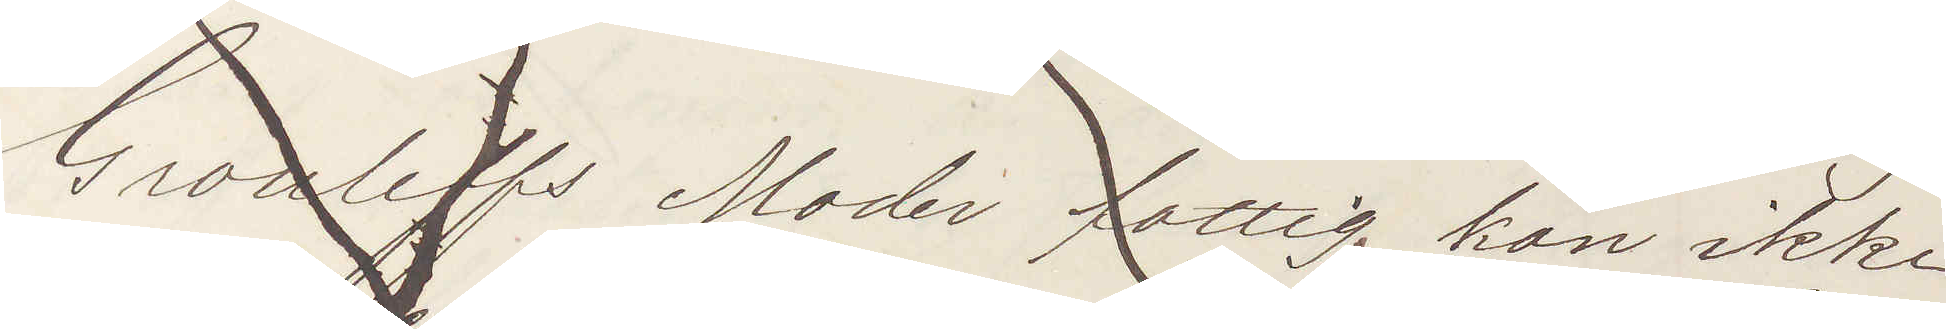Grouleffs Moder fattig kan ikke
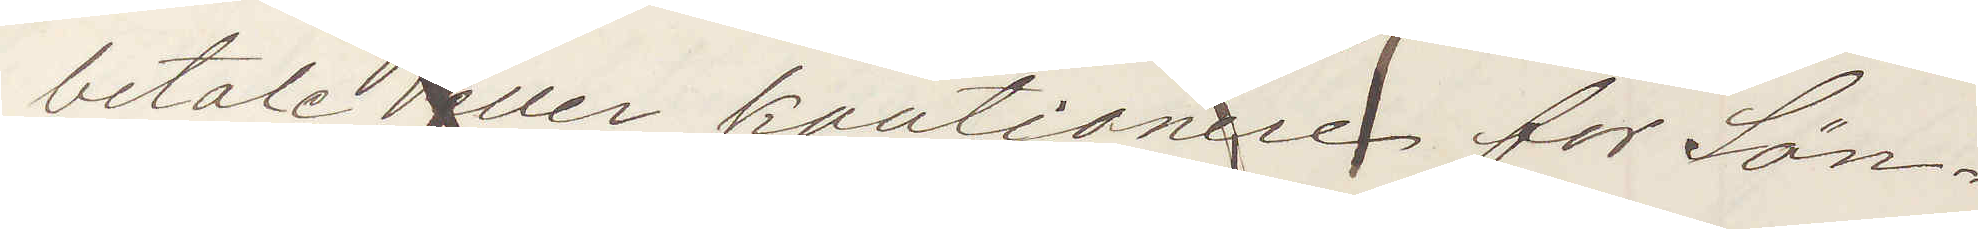betale eller kautionere for Sön¬
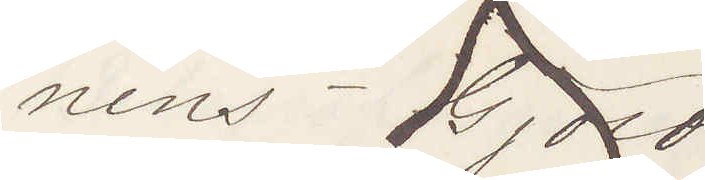nens Gjold
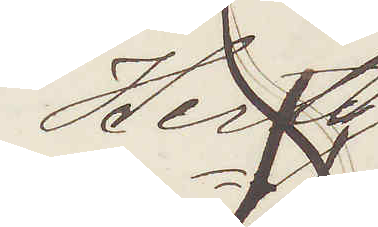Hertz
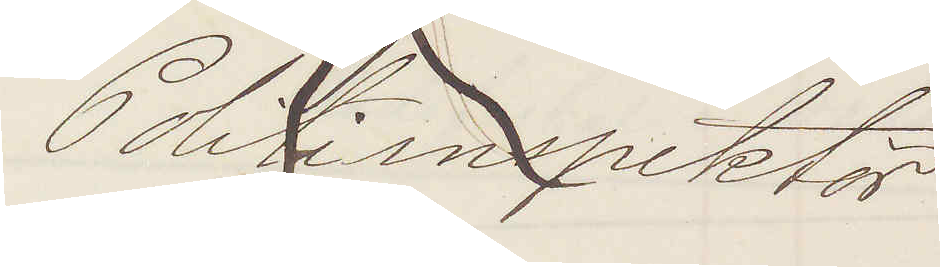Politiinspektör
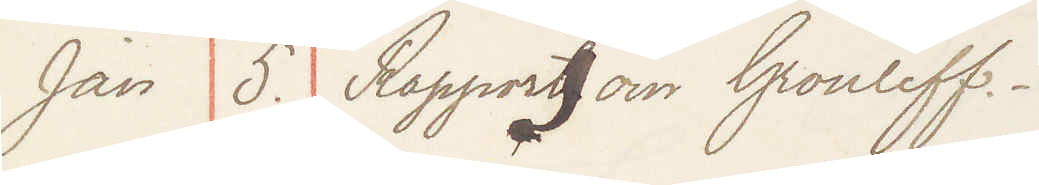Jan 5. Rapport om Grouleff
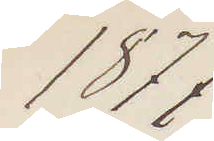1877
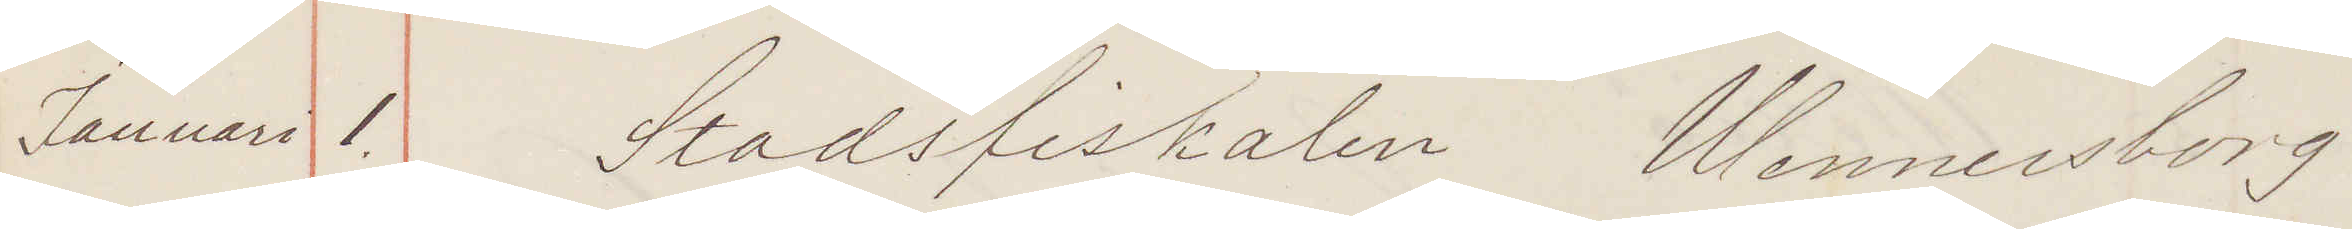Januari 1. Stadsfiskalen Wenersborg
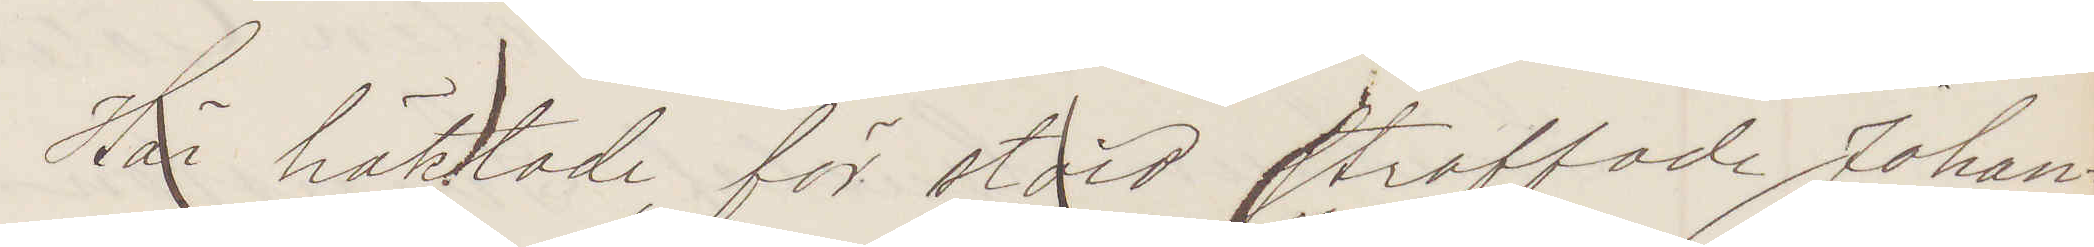Här häktad, för stöld straffade Johan¬
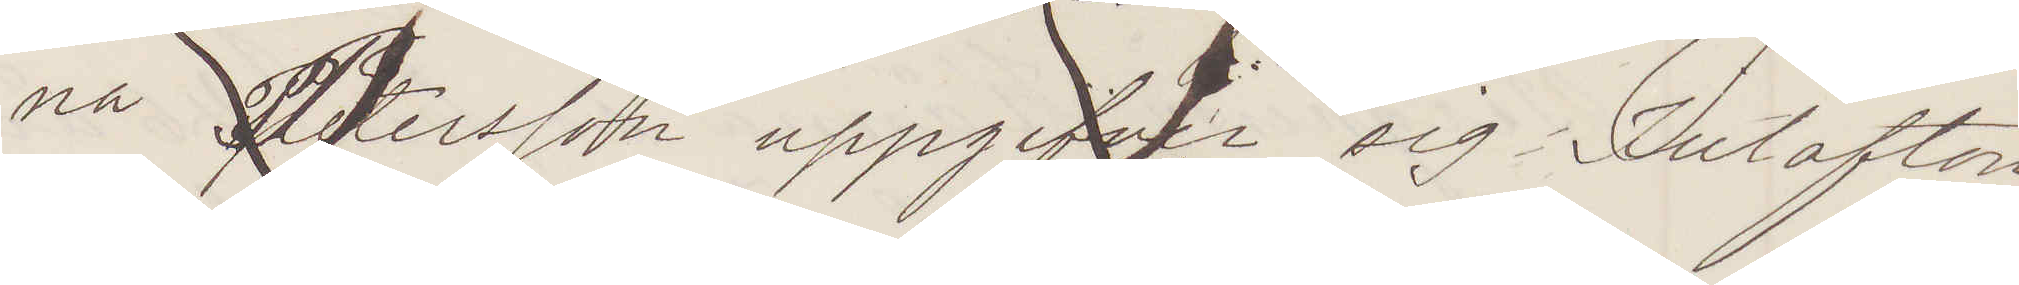na Petersson uppgifver sig Julafton
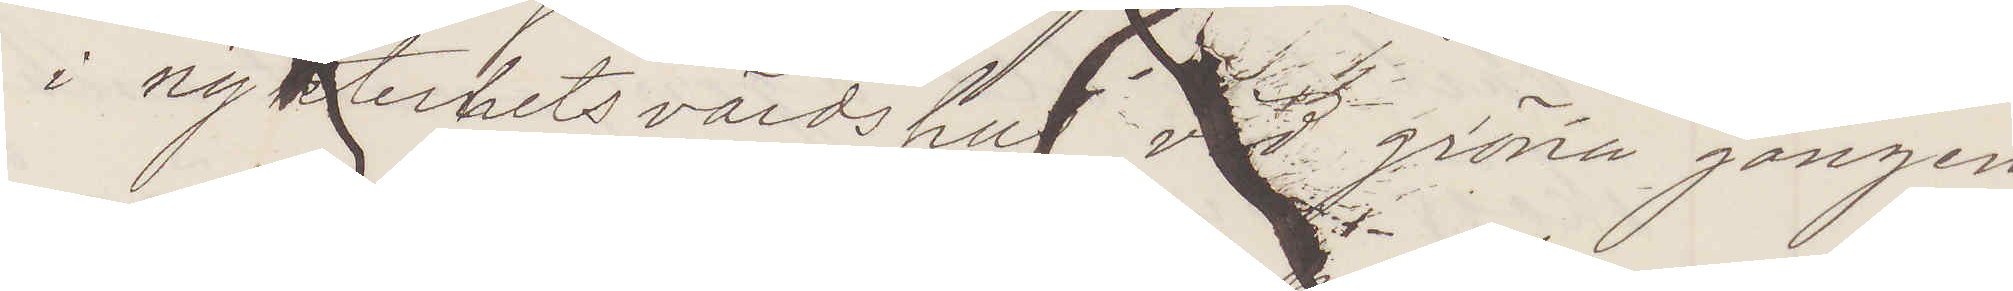i nykterhetsvärdshus vid gröna gången
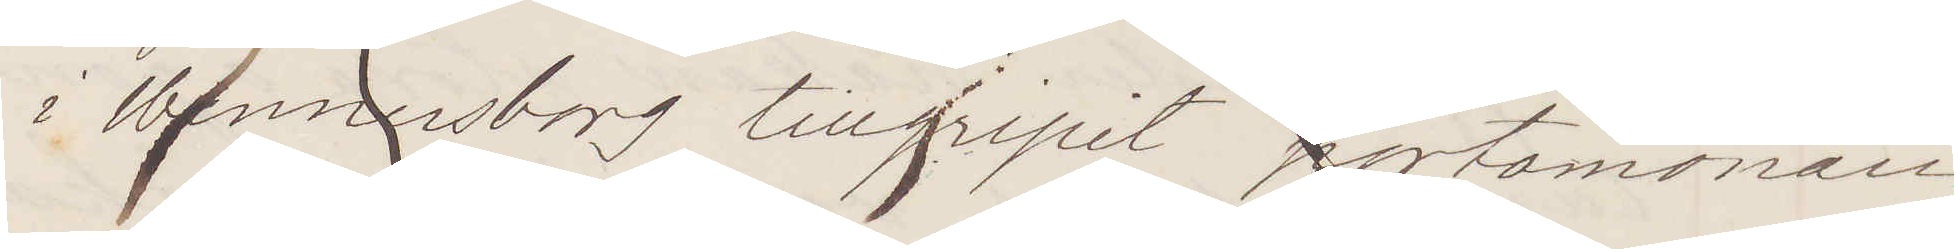i Wennersborg tillgripit portmonnaie
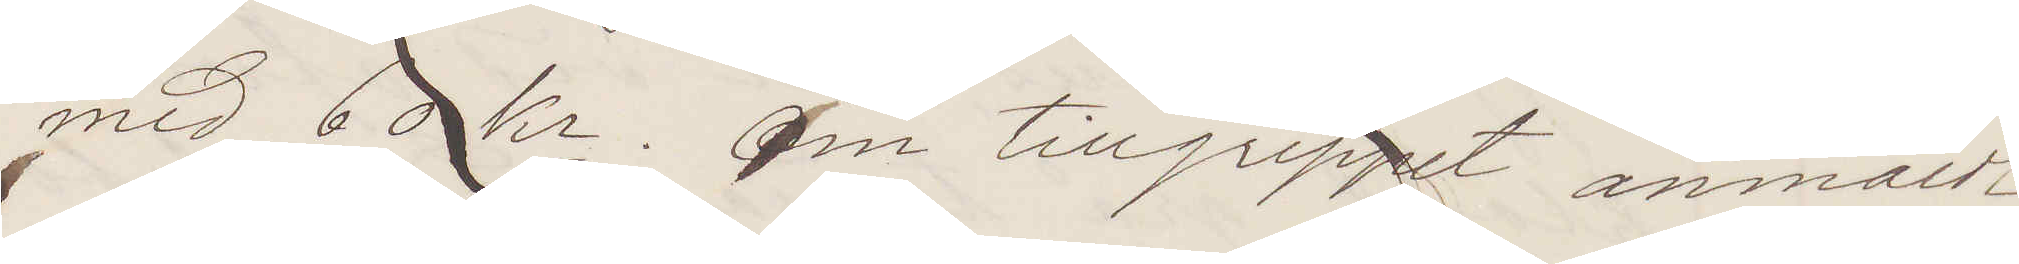med 60 kr. Om tillgreppet anmäldt,
